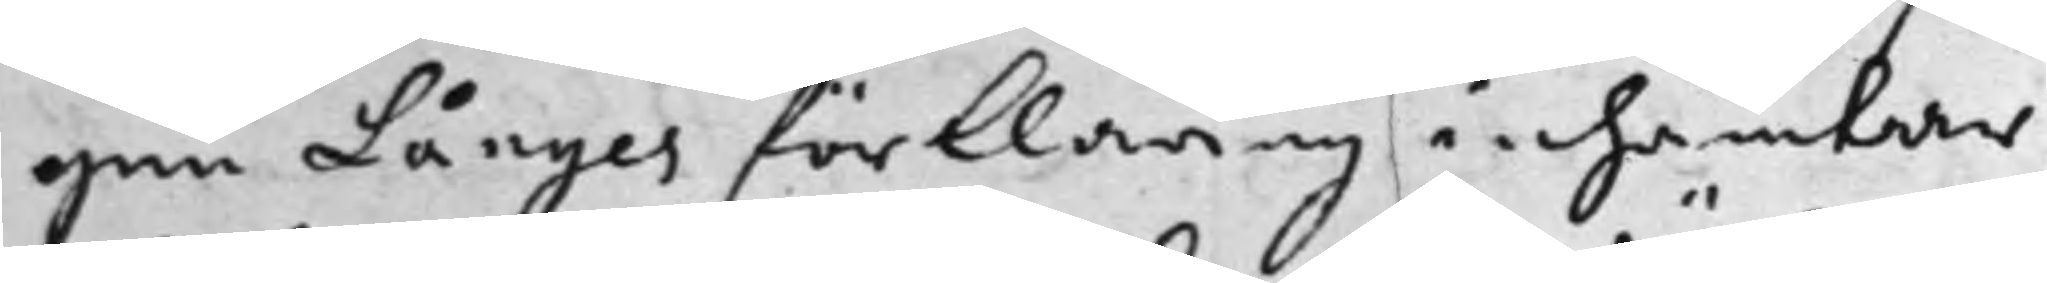gen Långes förklaring inhämtar
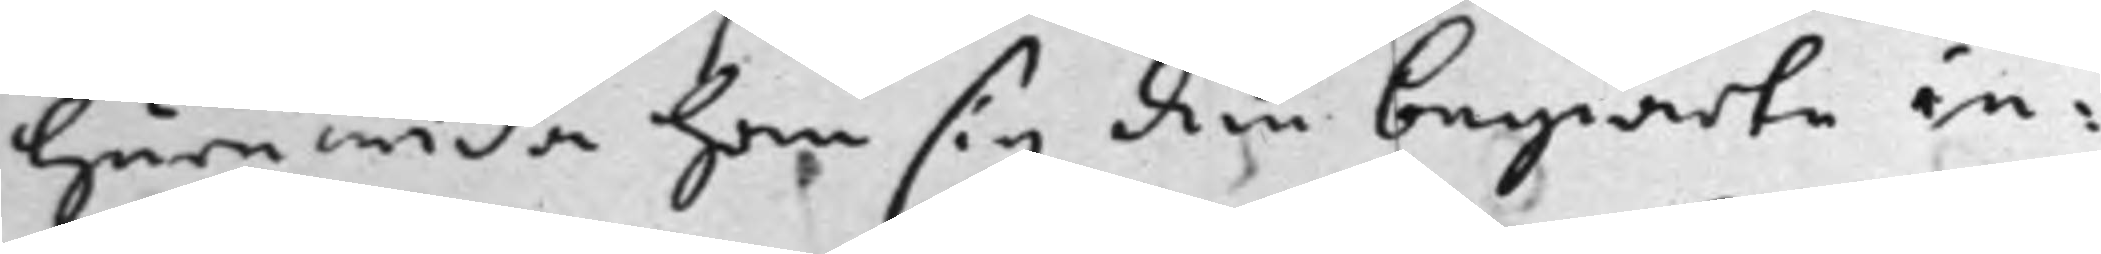huruwida han sig den begiärte in¬
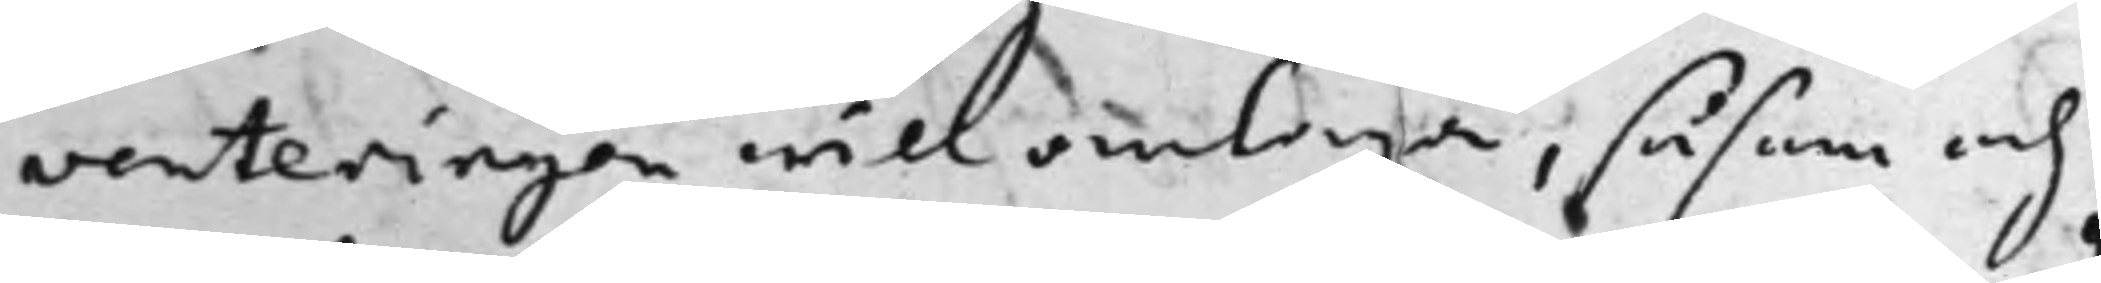venteringen will antaga, såsom och
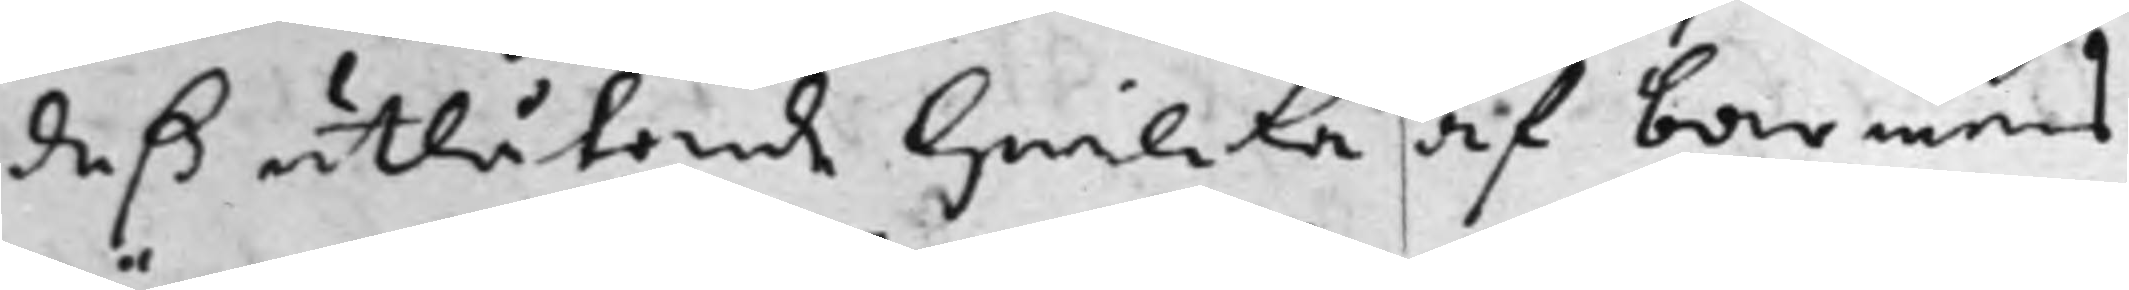deß utlåtande hwilcka af barnens
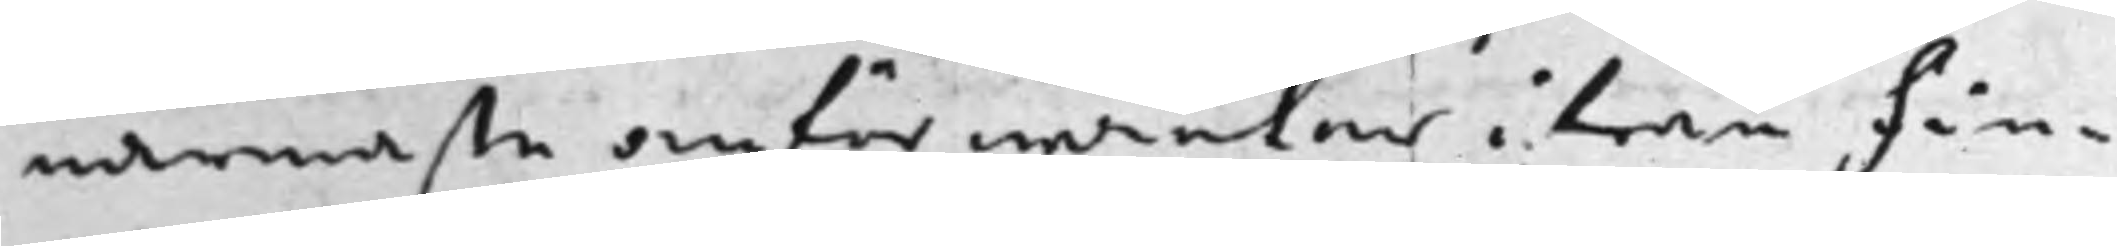närmaste anförwanter ifrån Fin¬
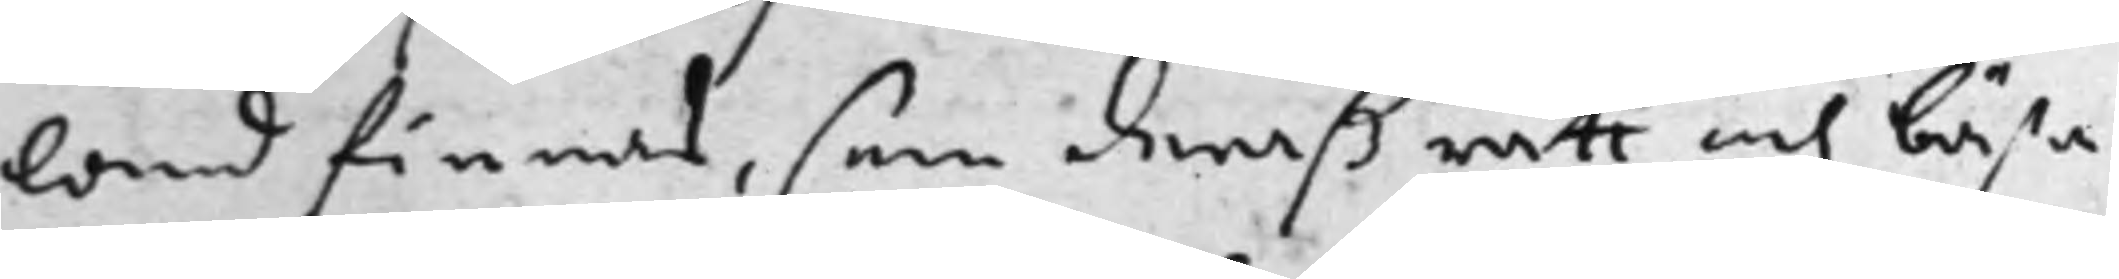land finnas, som deraß rätt och bästa
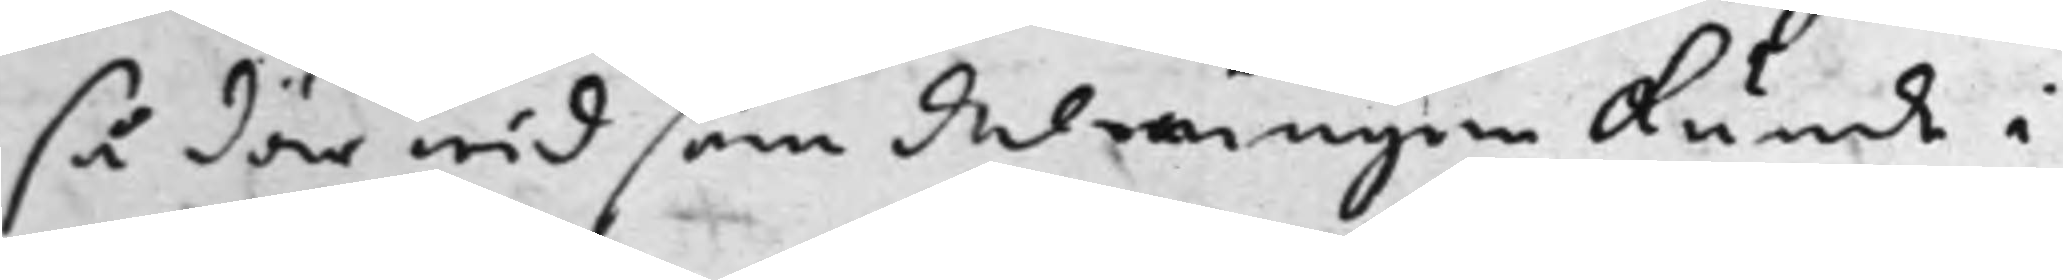så där wid som delningen kunde i
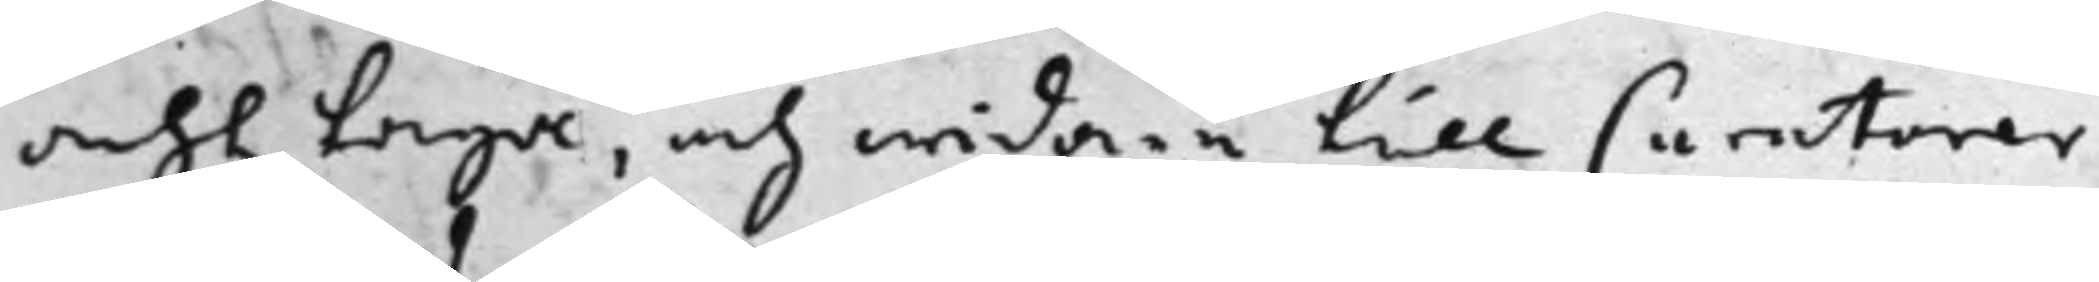acht taga, och widare till Curatorer
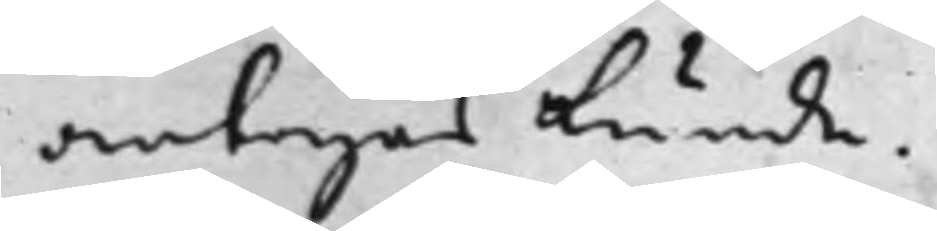antagas kunde.
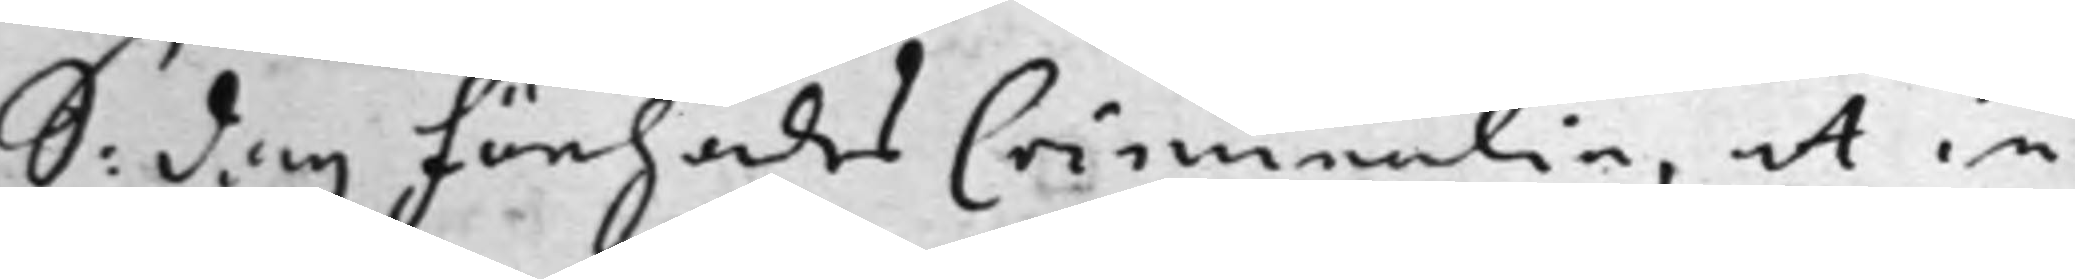S: dag Förehades Criminalia, at in
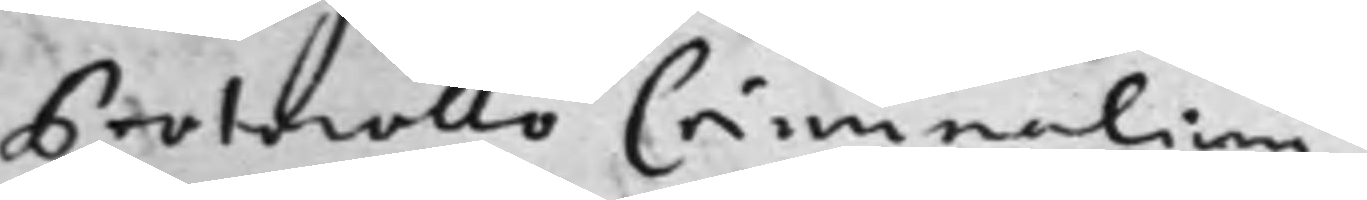Protocollo Criminalium
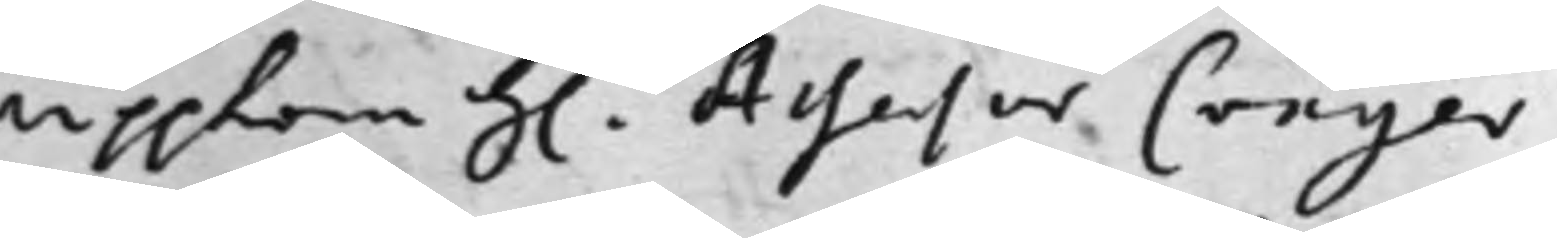uppkom h: Assessor Cröger
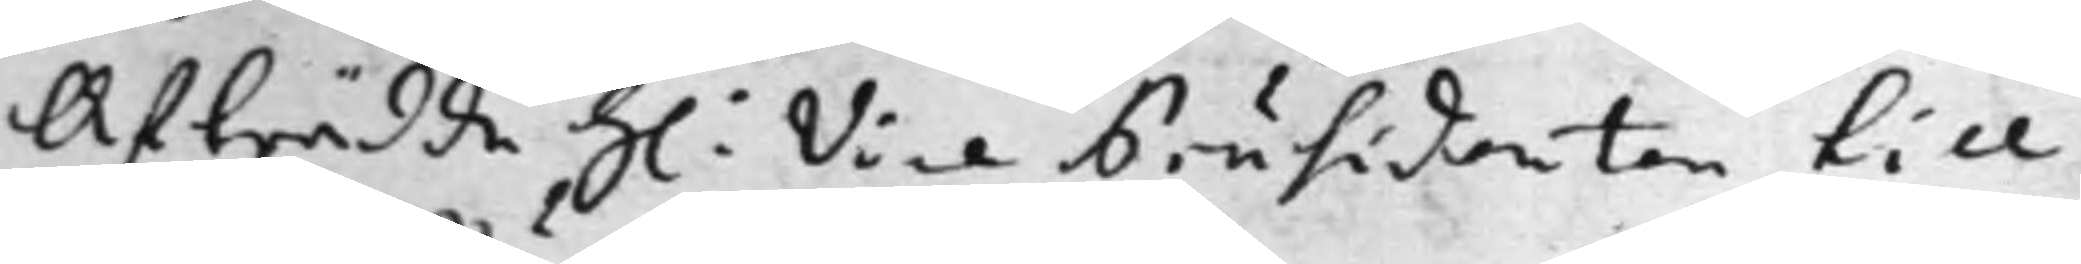Afträdde h: Vice Präsidenten till
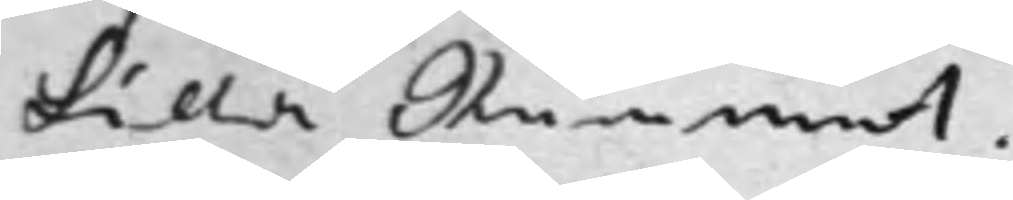Lilla Rummet.
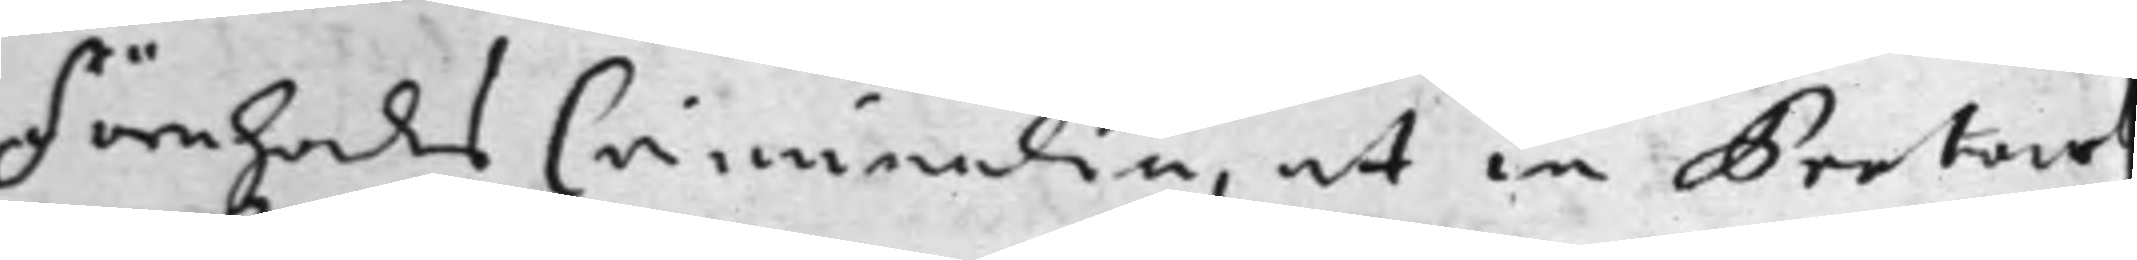Förehades Criminalia, at in Protoco¬
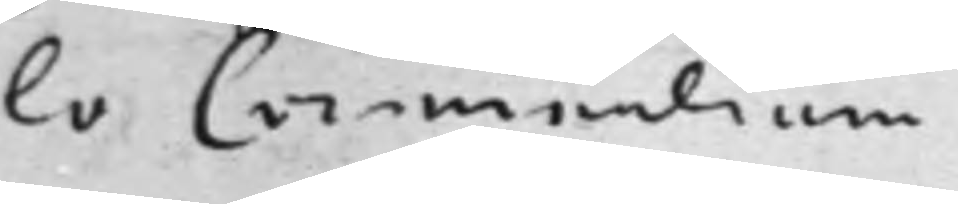lo Criminalium
